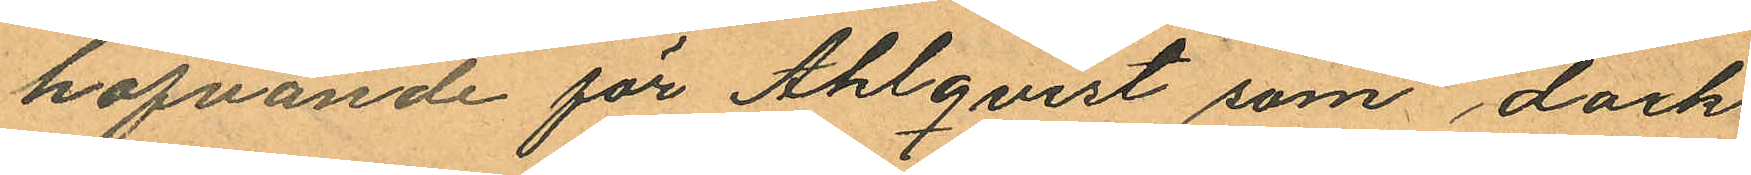hafvande för Ahlqvist som dock
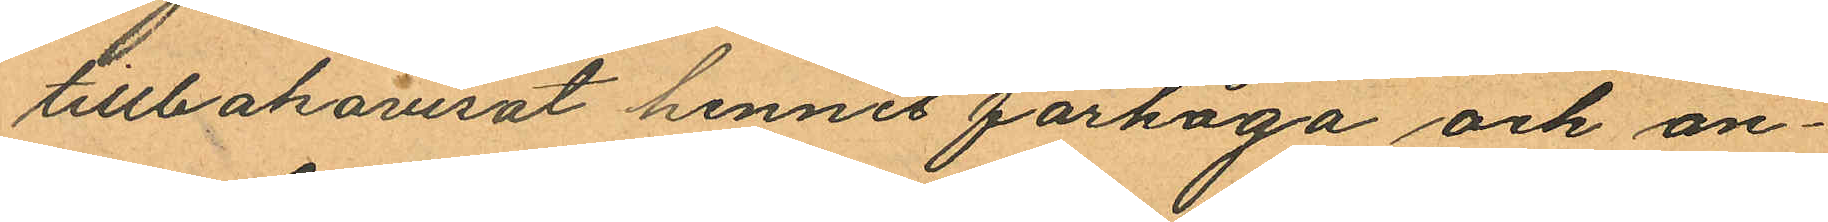tillbakavisat hennes farhåga och an¬
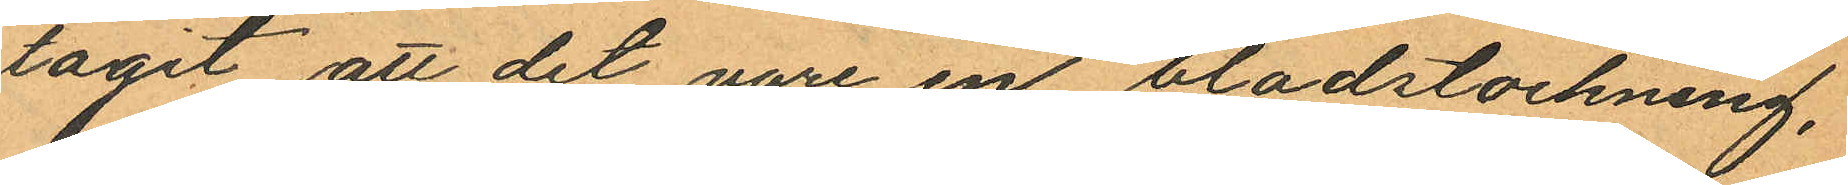tagit att det vore en blodstockning,
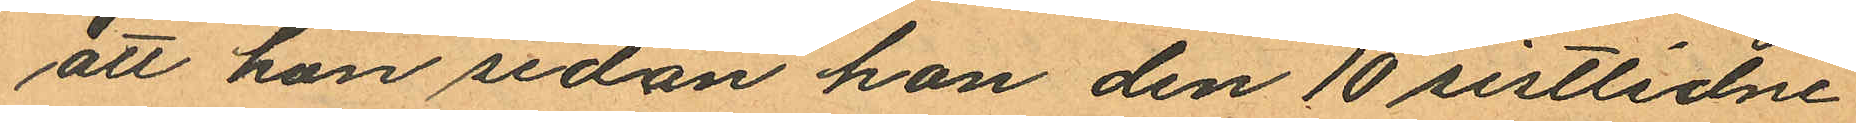att hon sedan hon den 10 sistlidne
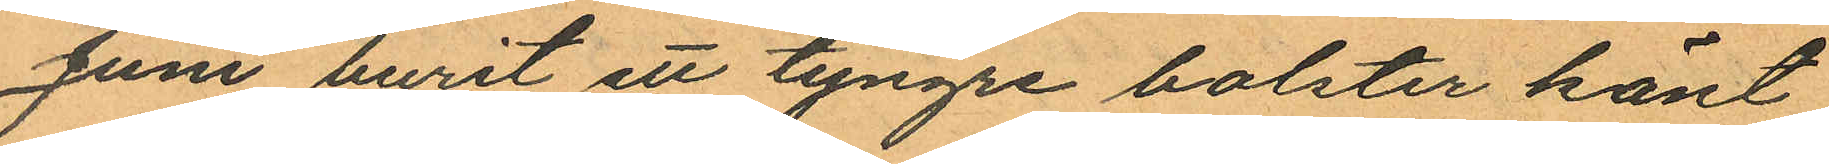Juni burit ett tyngre bolster känt
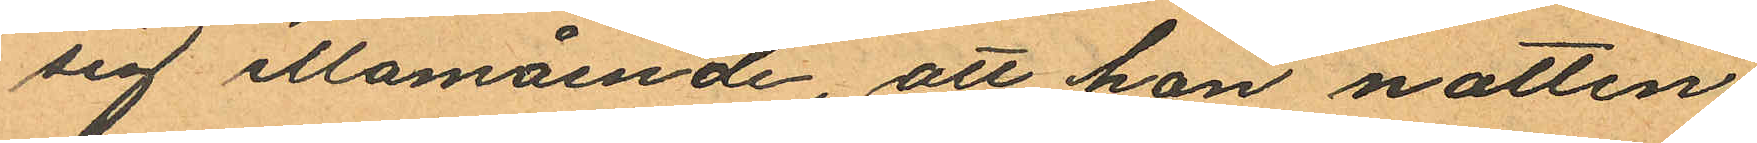sig illamående, att hon natten
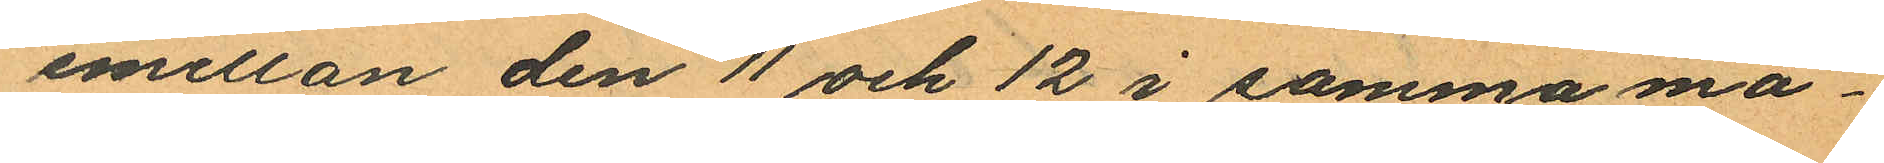emellan den 11 och 12 i samma må¬
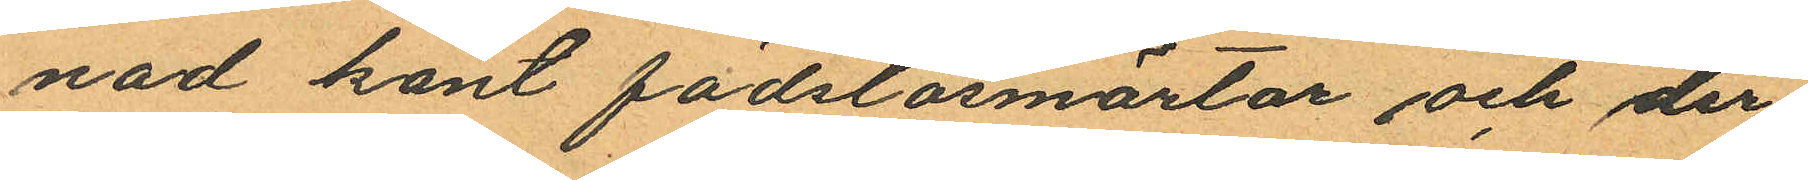nad känt födslosmärtor och der
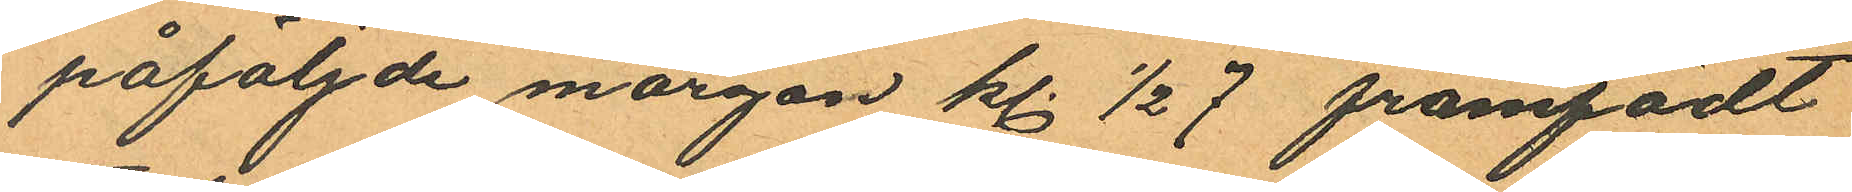påföljde morgon kl. ½ 7 framfödt
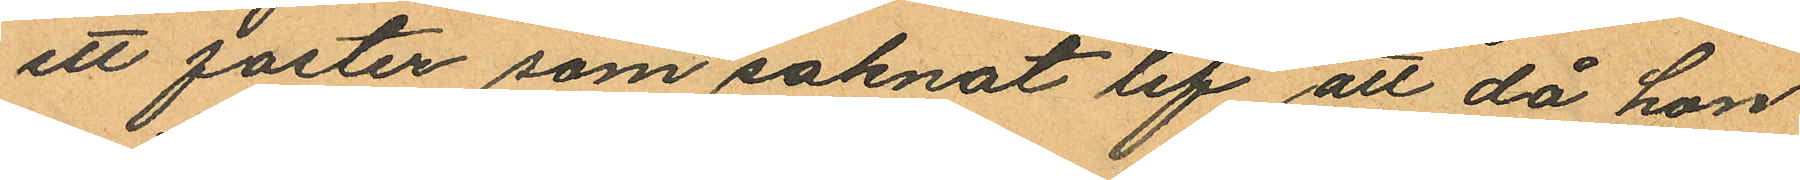ett foster som saknat lif att då hon
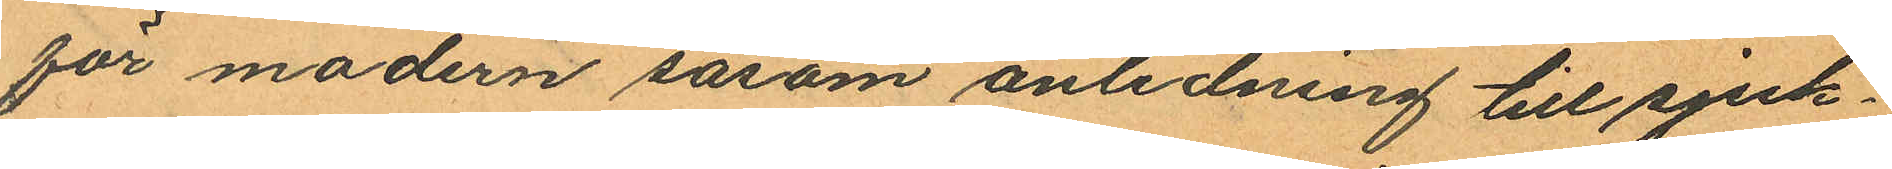för modern såsom anledning till sjuk¬
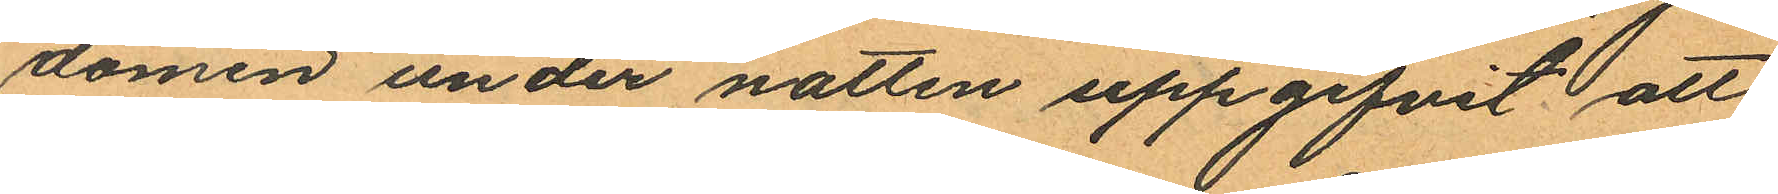domen under natten uppgifvit att
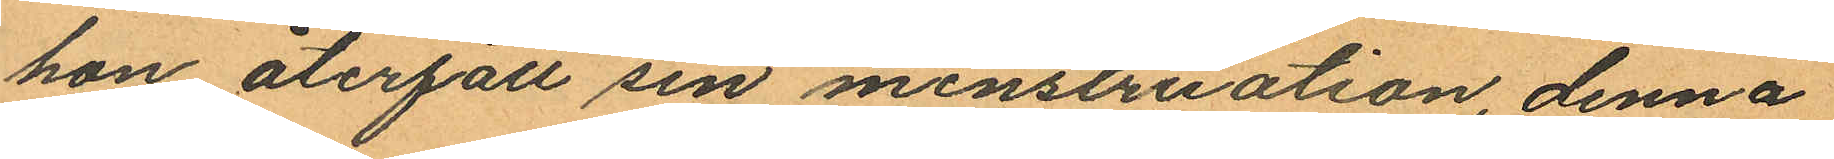hon återfått sin menstruation, denna
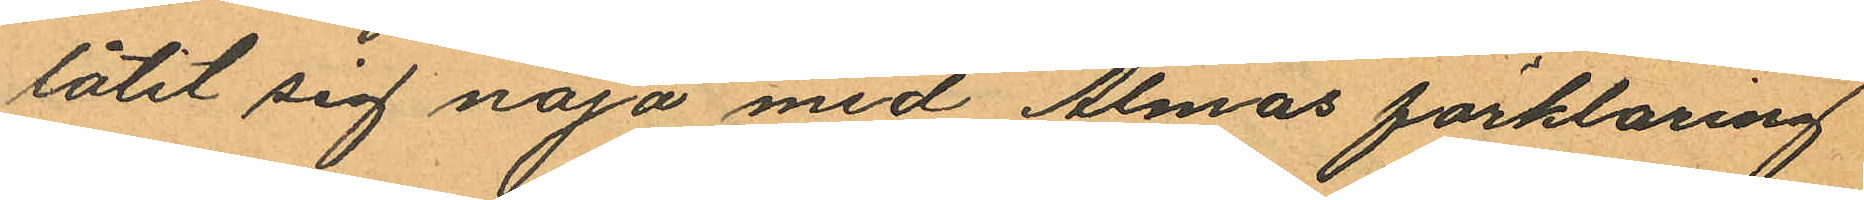låtit sig nöja med Almas förklaring
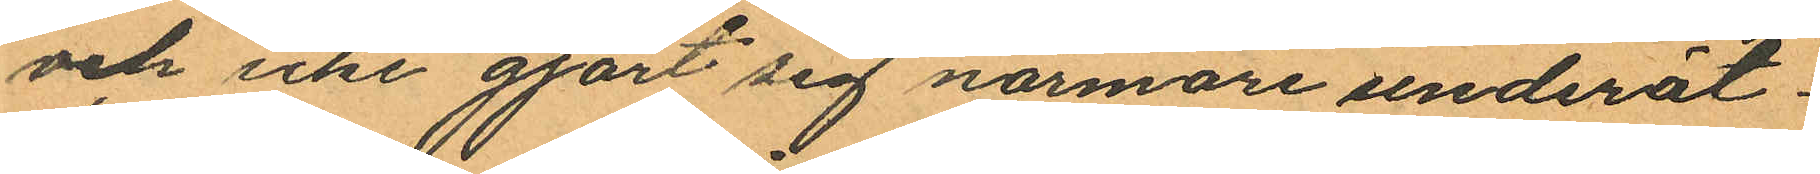och icke gjort sig närmare underät¬
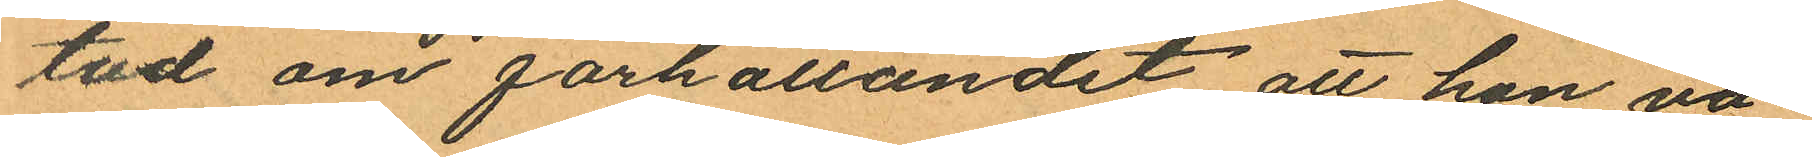tad om förhållandet att hon va¬
